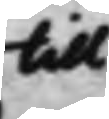till
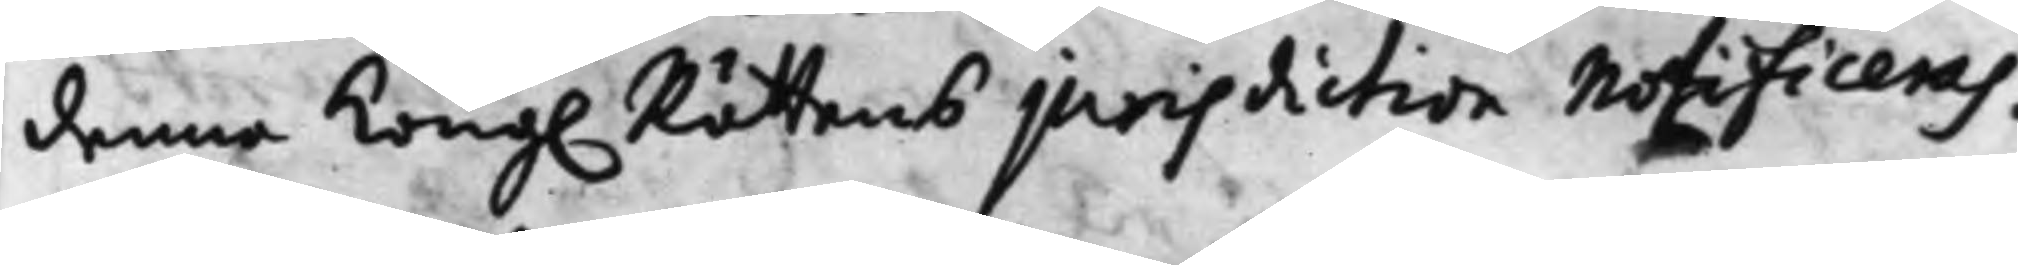denna Kong. Rättens jurisdiction Notificeras.
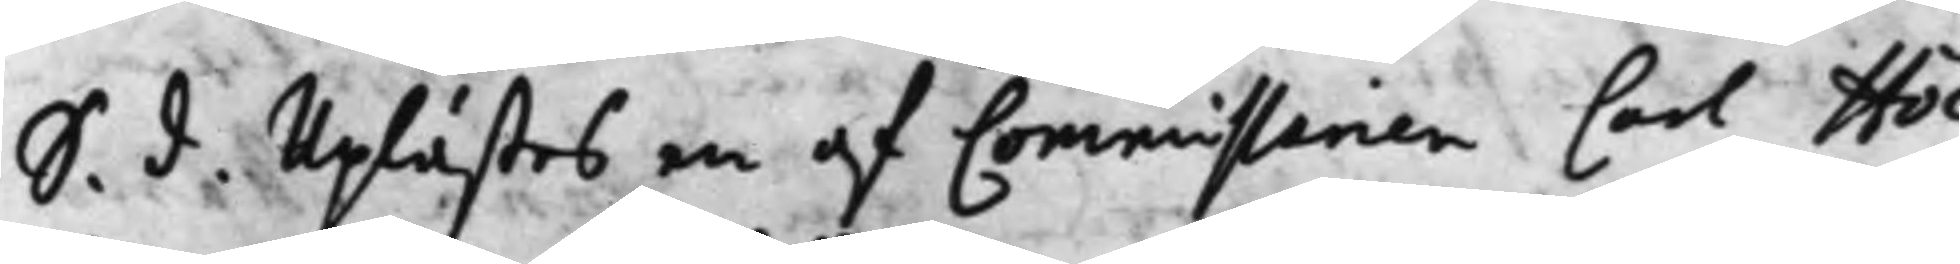S. d. Uplästes en af Commissarien Carl Höc¬
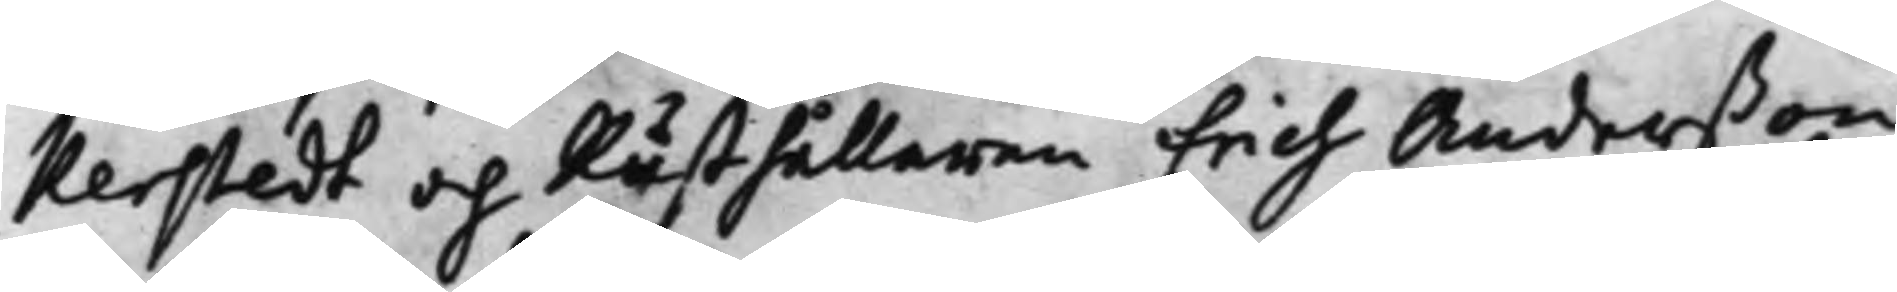kerstedt och Rusthållaren Erich Anderßon
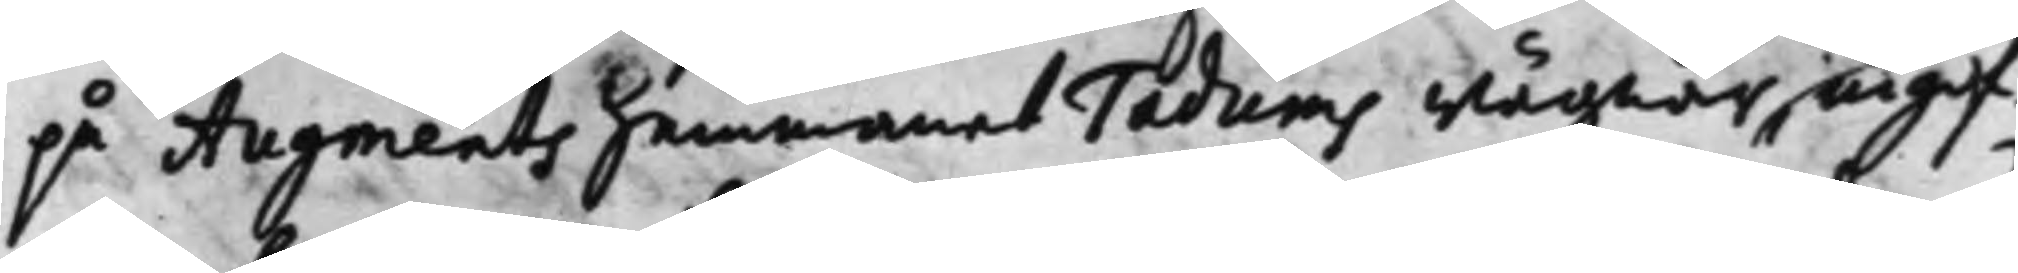på Augments hemmanet Tadums wägnar, ingif¬
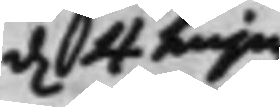d. 4 hujus
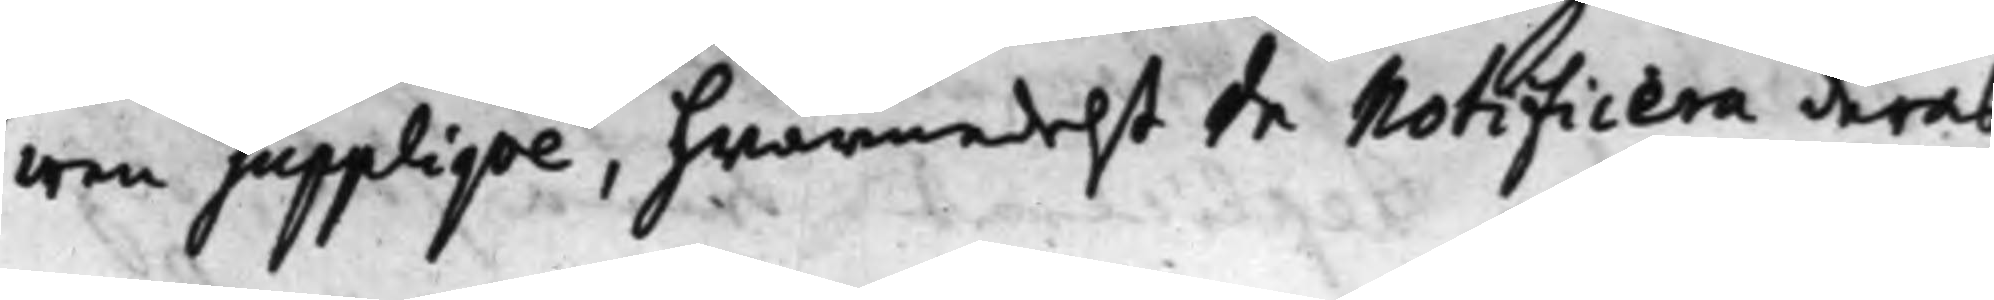wen supplique, hwarmedelst de Notificera deras
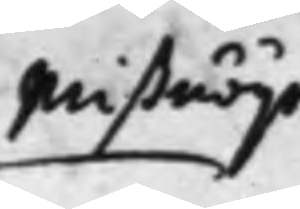Mißnöije
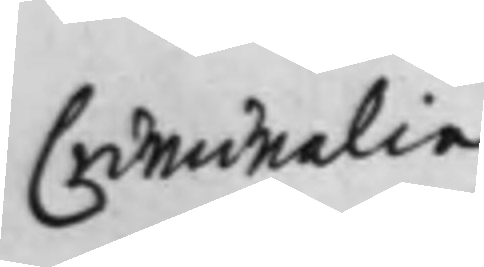Criminalia
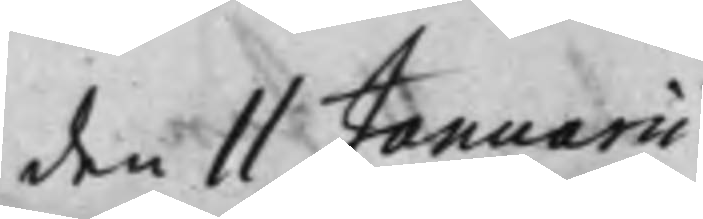den 11 Januarii
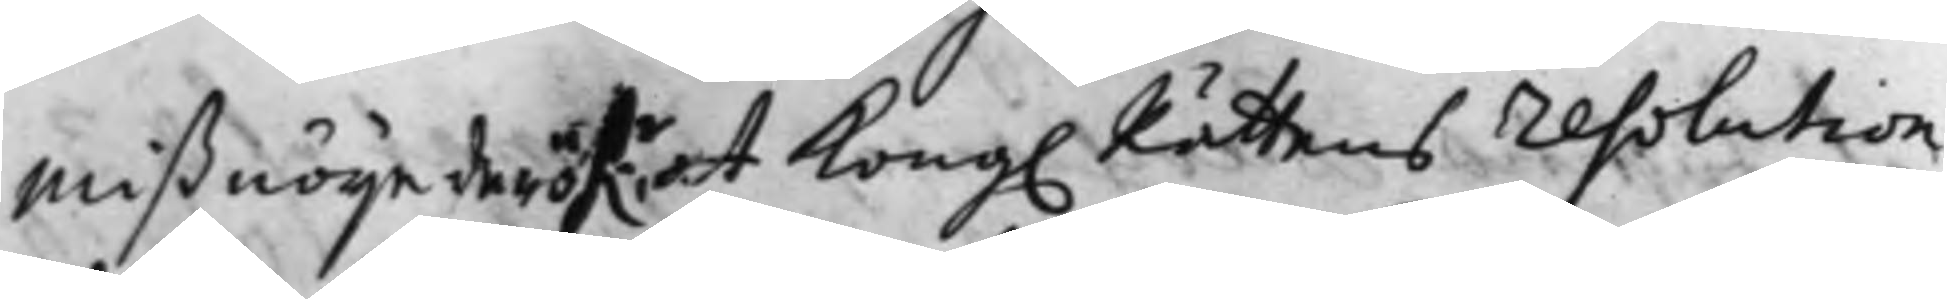Mißnöije deröf.r at Kong. Rättens resolution
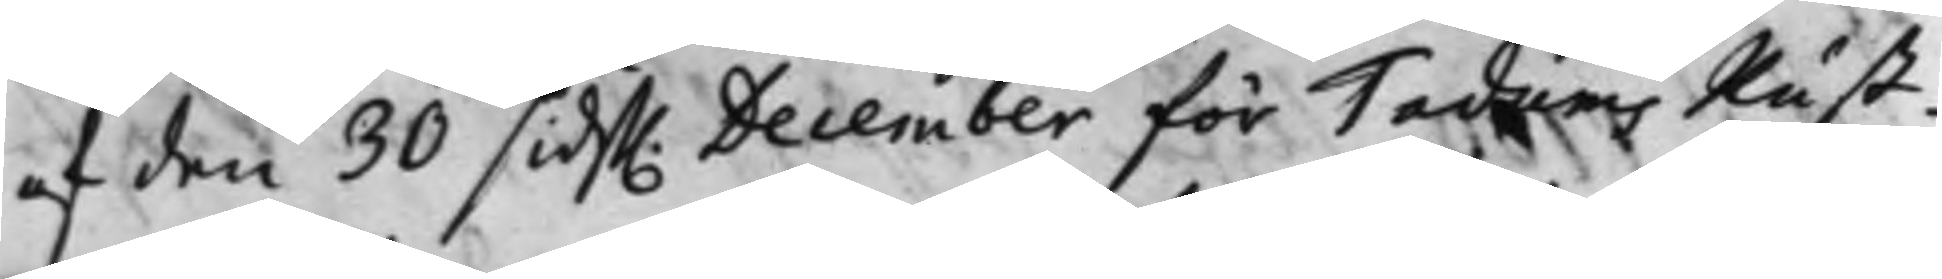af den 30 sidst. December för Tadums Rust¬
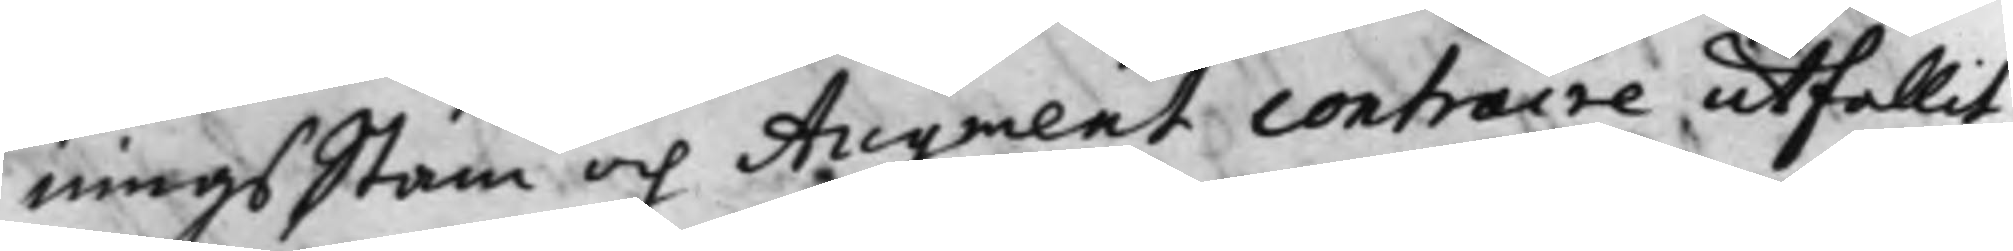ningsStam och Augment Contraire utfallit:
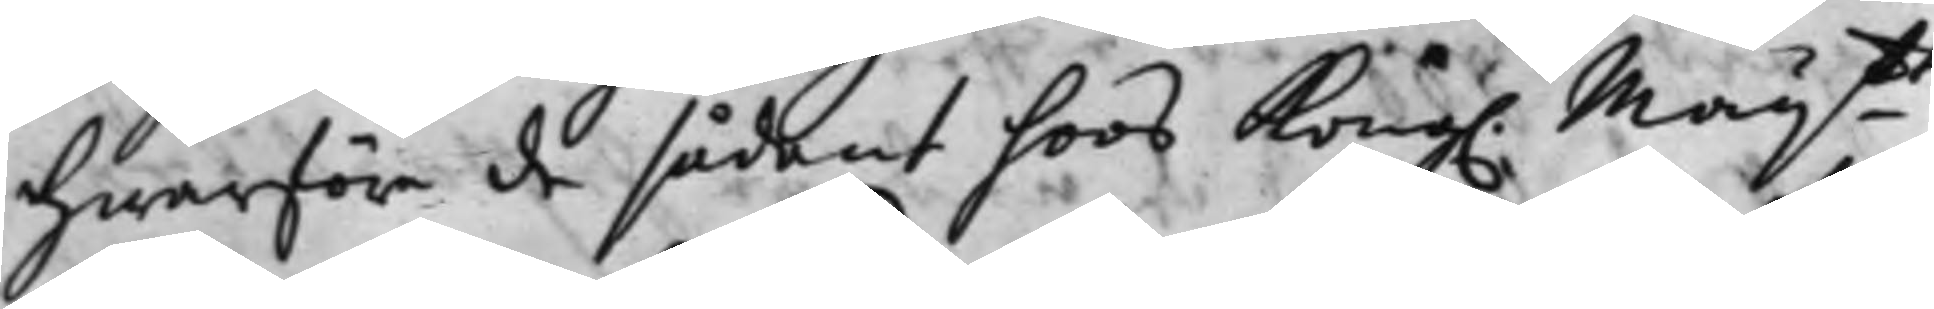Hwarföre de sådant hoos Kong. Maij.tt
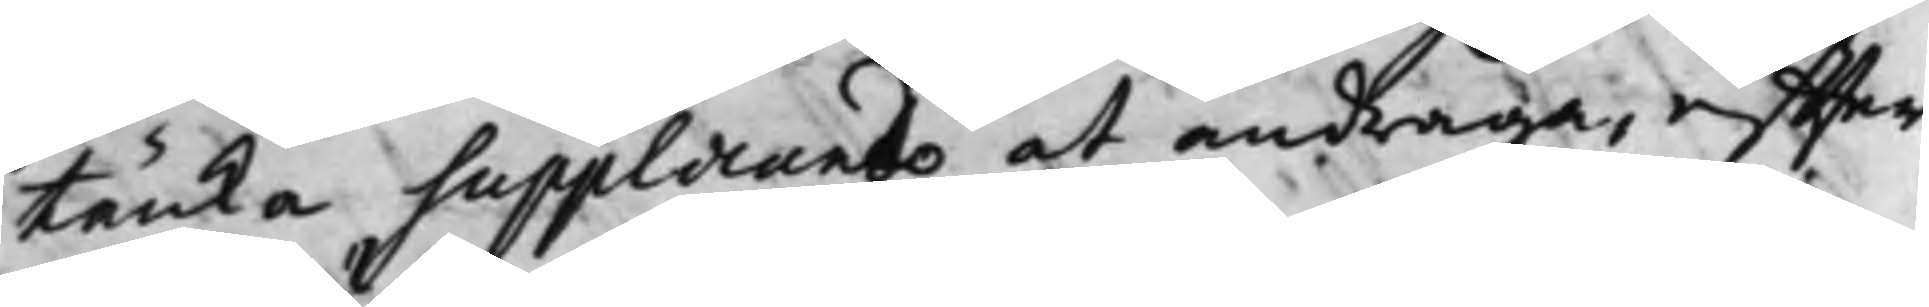tänka supplicando at andraga, effter
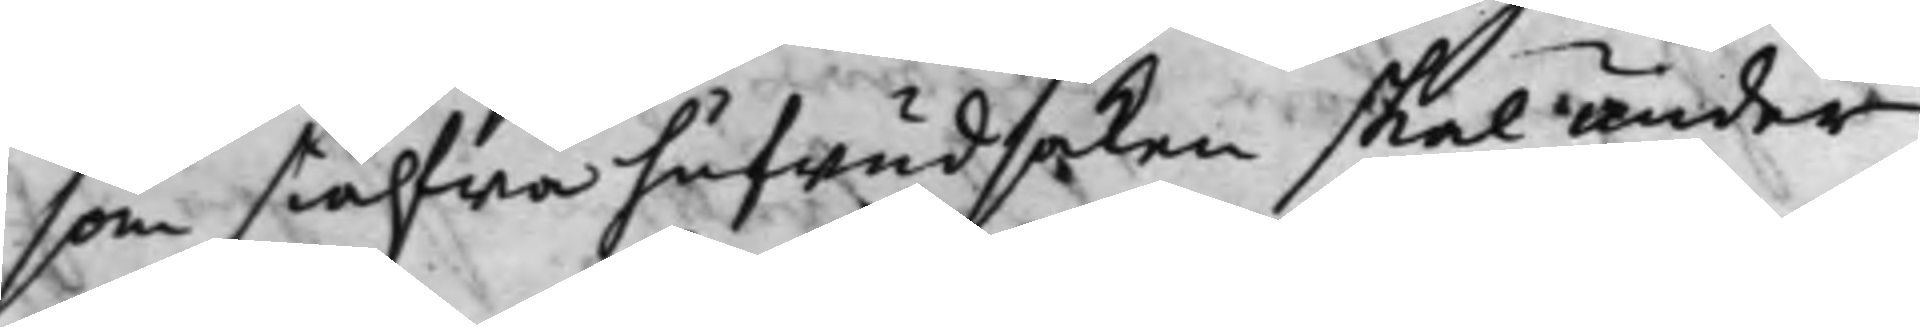som siälfwa hufwudsaken skal under
